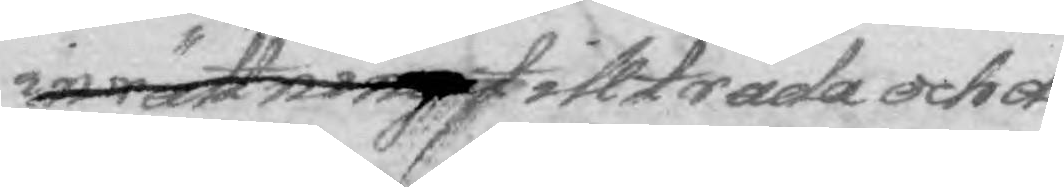inrättning tillträda och de 
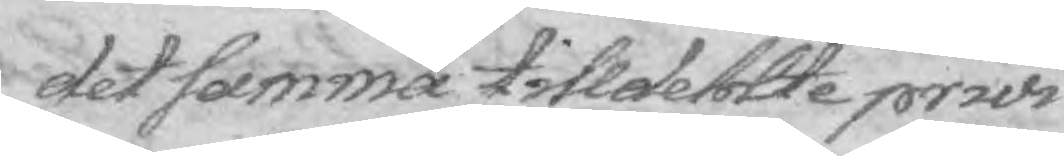det samma tilldelte privi¬
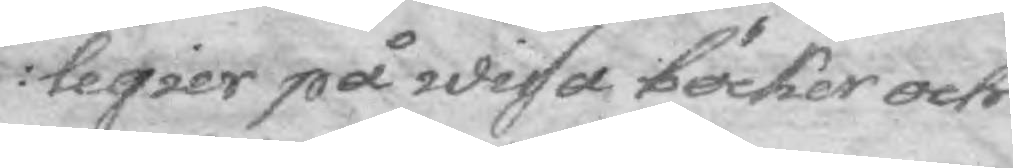legier på wissa böcker och
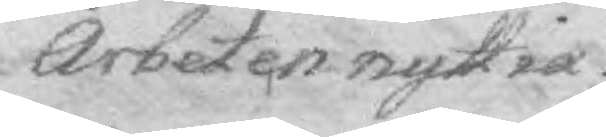Arbeten nyttia.
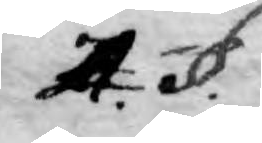4. §.
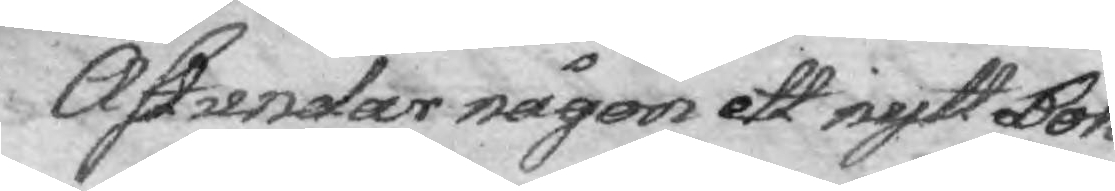Åstundar någon ett nytt Bok¬
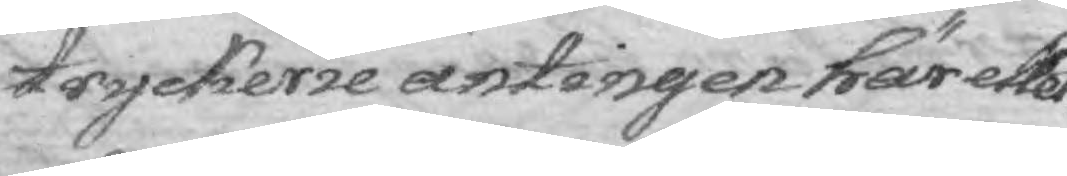tryckerie antingen här eller
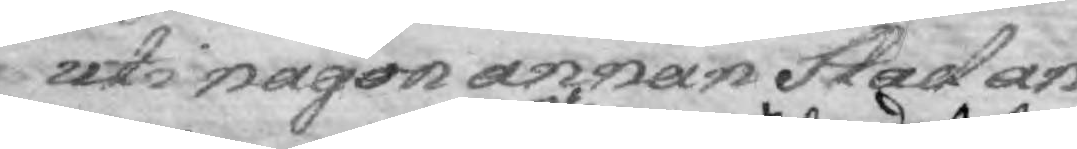uti någon annan Stad an¬
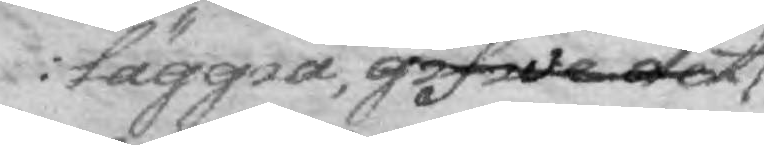läggia,gifwa det
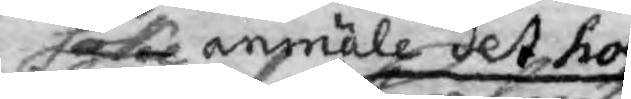söka anmäle det hos
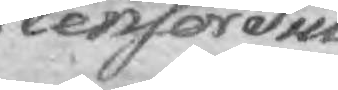Censor Pub¬
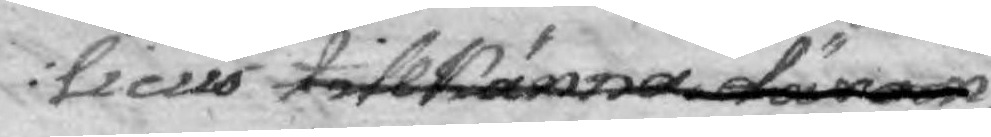licus tillkänna därom,
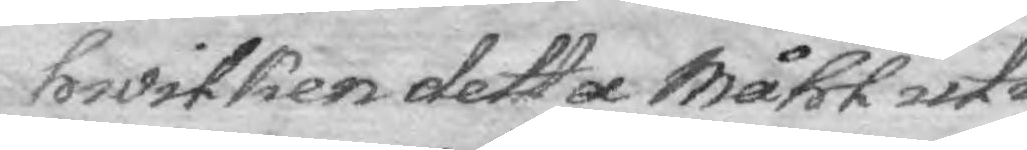whilken detta måhl uti 
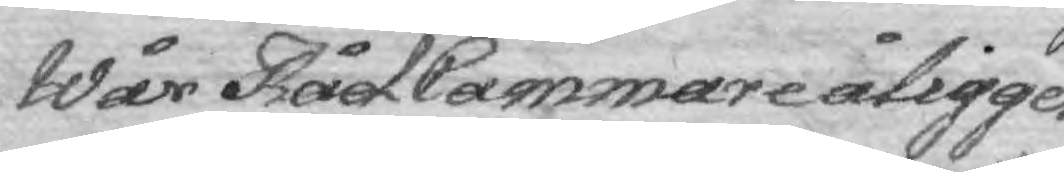Wår Råd Cammare åligger
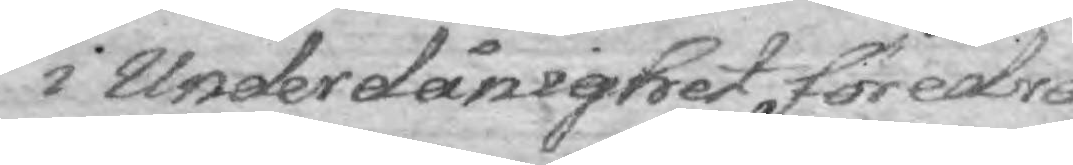i Underdånighet föredra¬
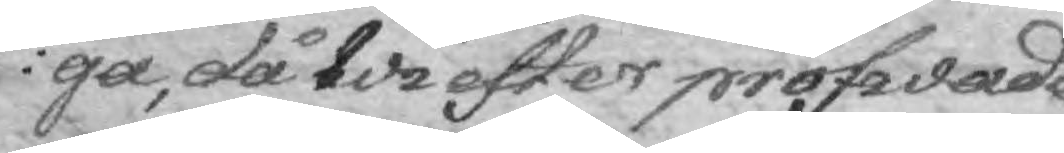ga, då Wi efter pröfwade
